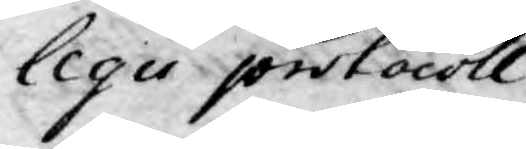legii protocoll
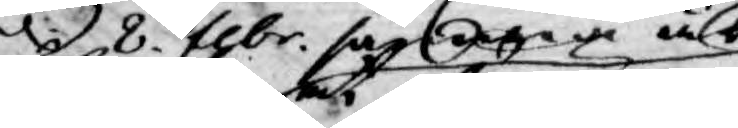d. 8. febr. samma år
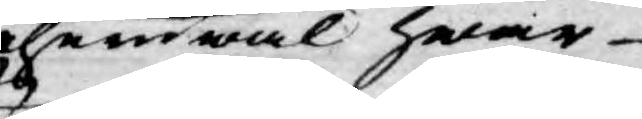at ehuruwäl hwar
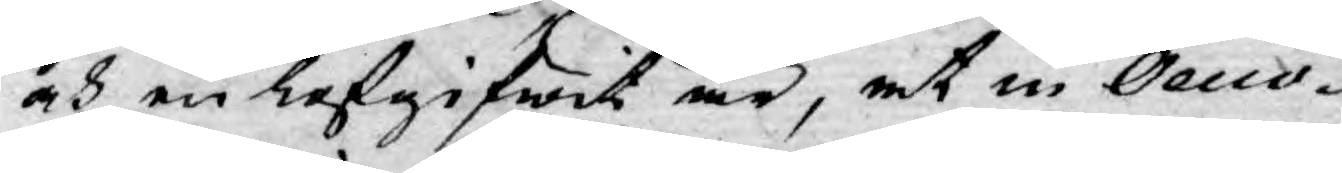och en lofgifwit är, at in Oecco¬
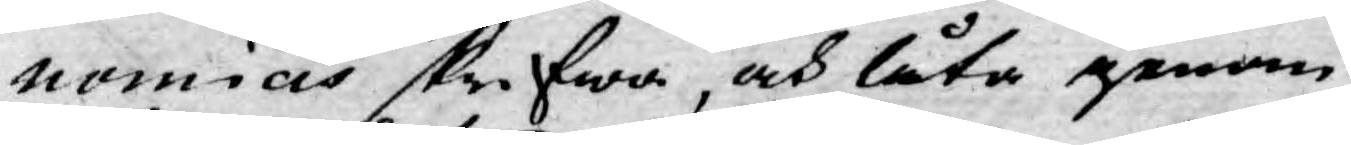nomicis skrifwa, och låta genom
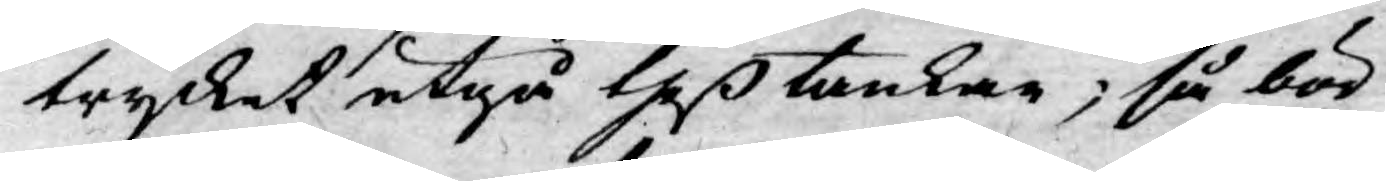trycket utgå theß tankar; så bör
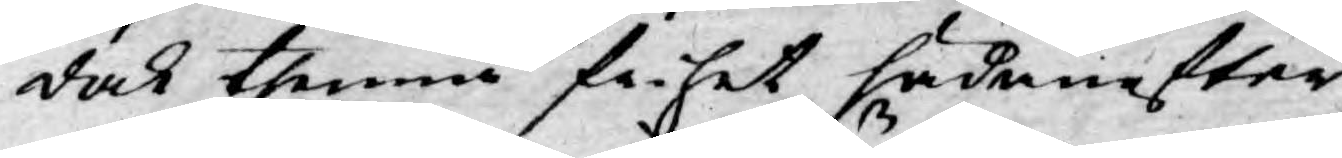dock thenna frihet hädanefter
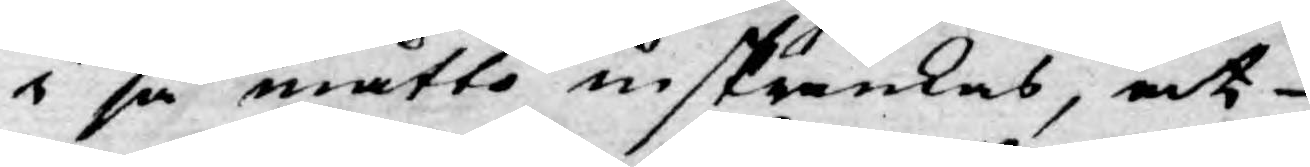i så måtto inskränkas, at
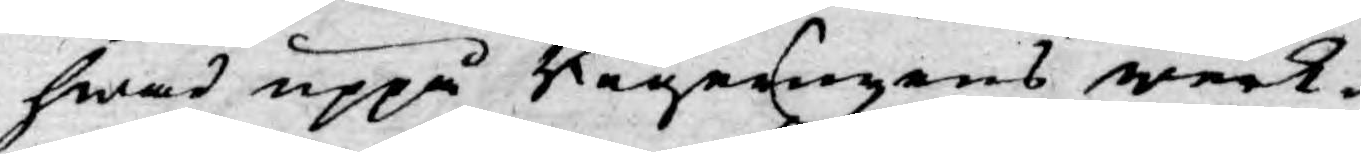hwad uppå Regeringens werk¬
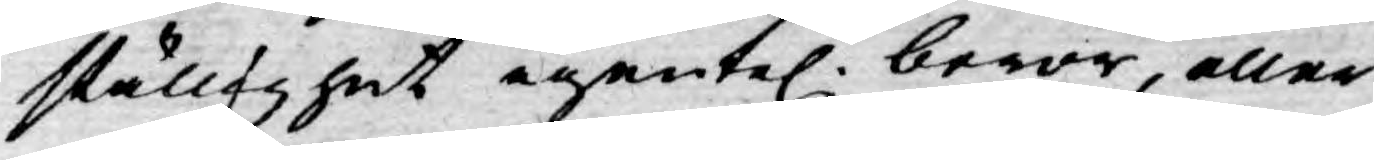ställighet egentel. beror, eller
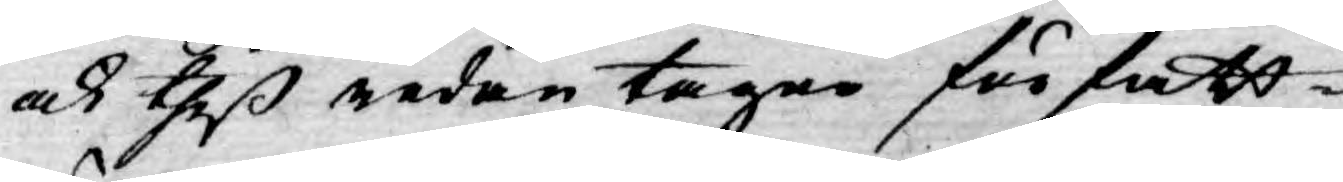ock theß redan tagne författ¬
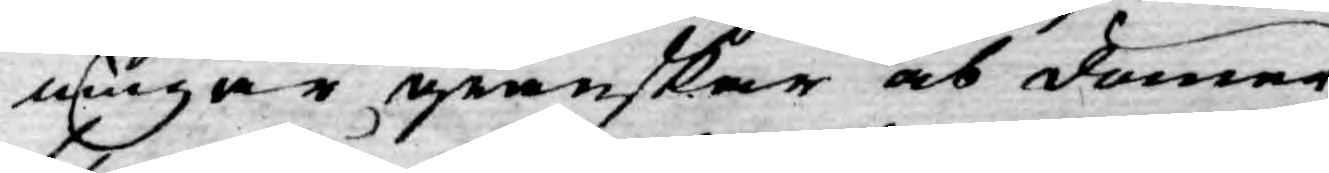ningar granskar och dömer,
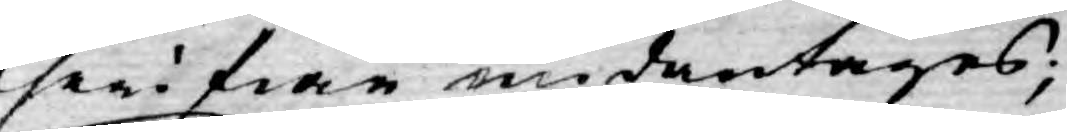theri från undantages;
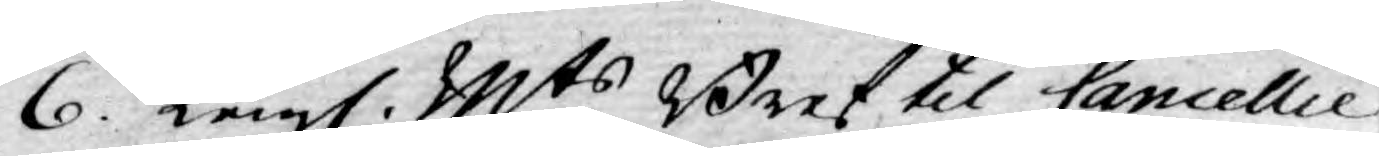6. Kongl. Mts Bref til Cancellie
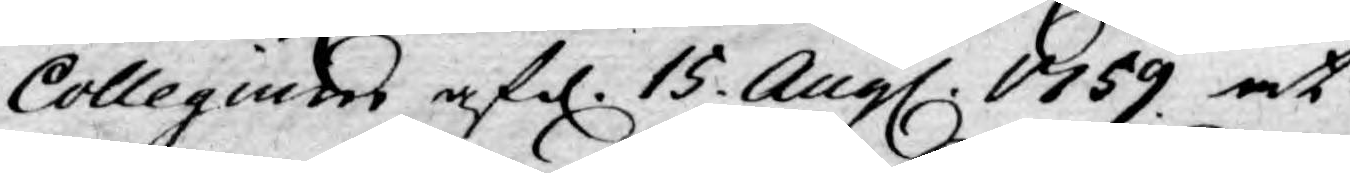Collegium af d. 15. Aug. 1759. at
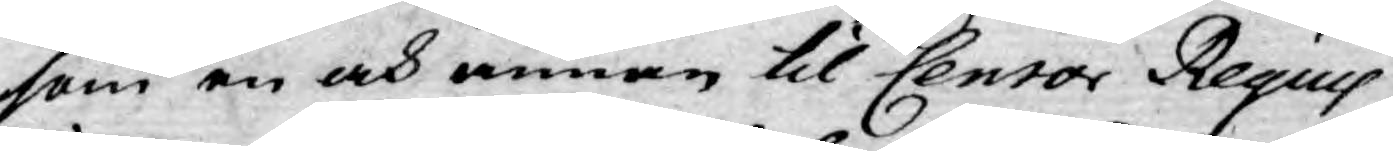som en och annan til Censor Reqius
